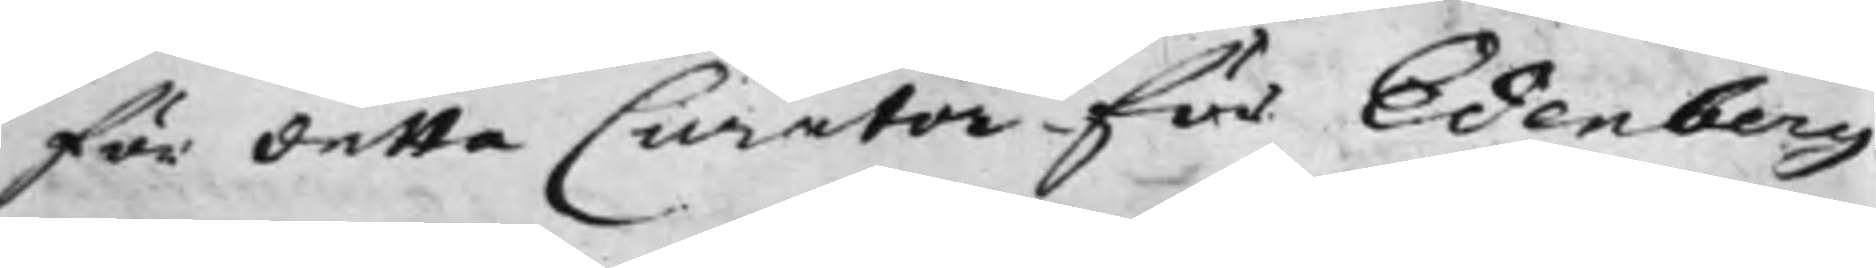för detta Curator för Edenberg¬
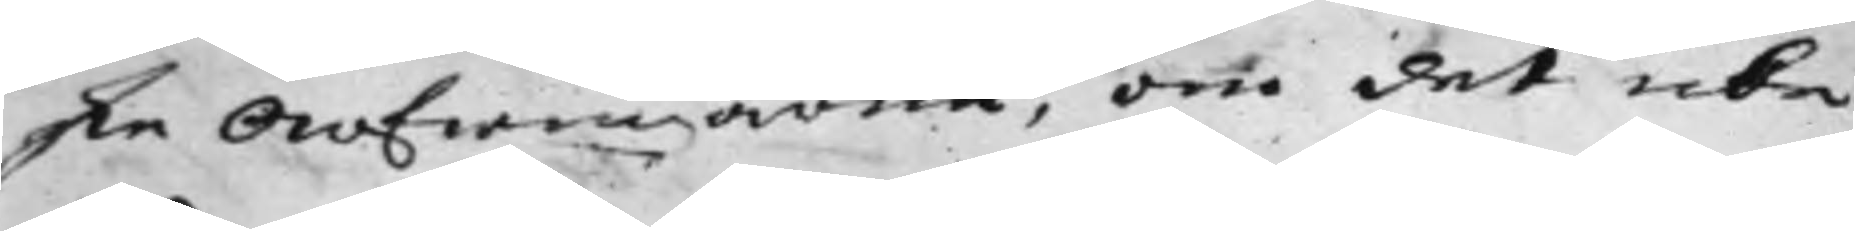ske Arfwingarne, om det icke
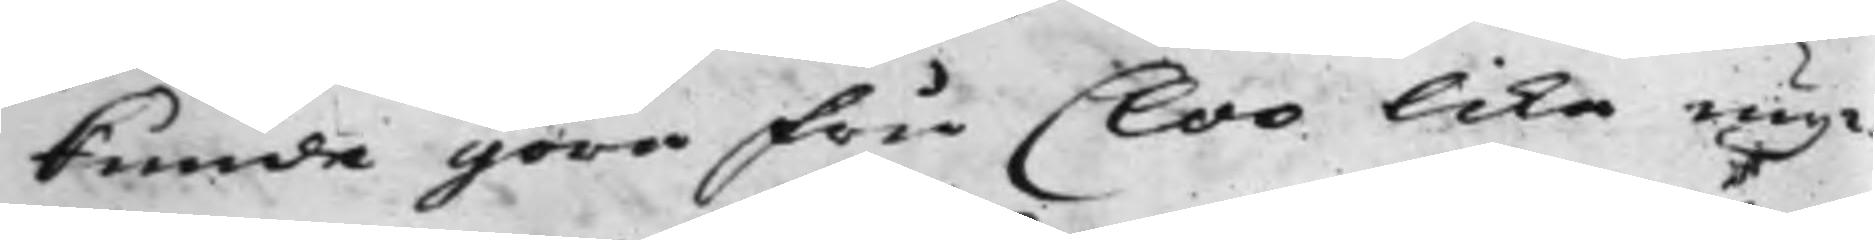kunde göra Fru Cloo lika myc¬
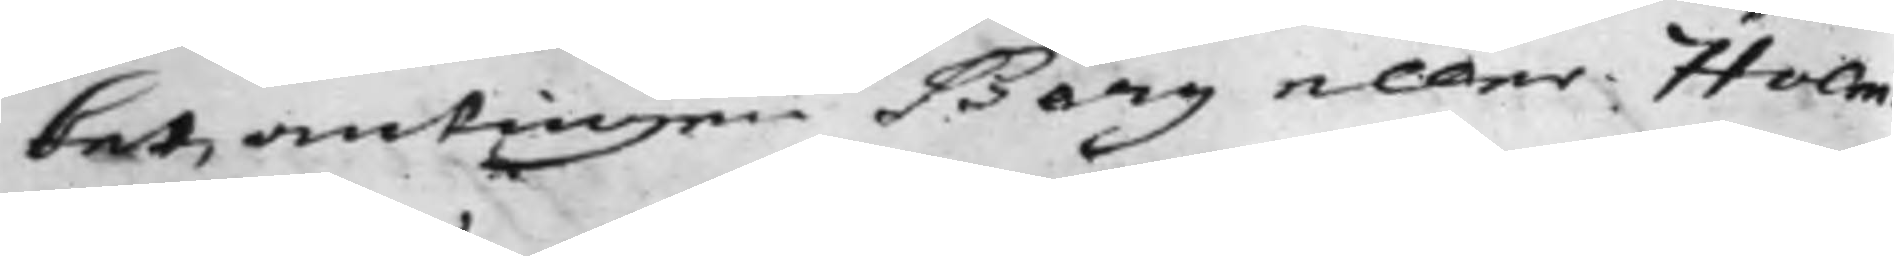ket, antingen Berg eller Holm¬
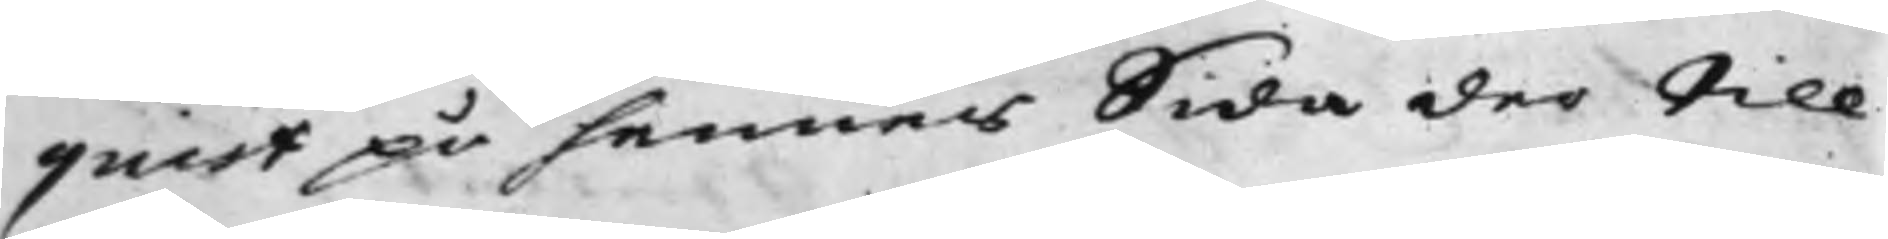quist på hennes Sida der till
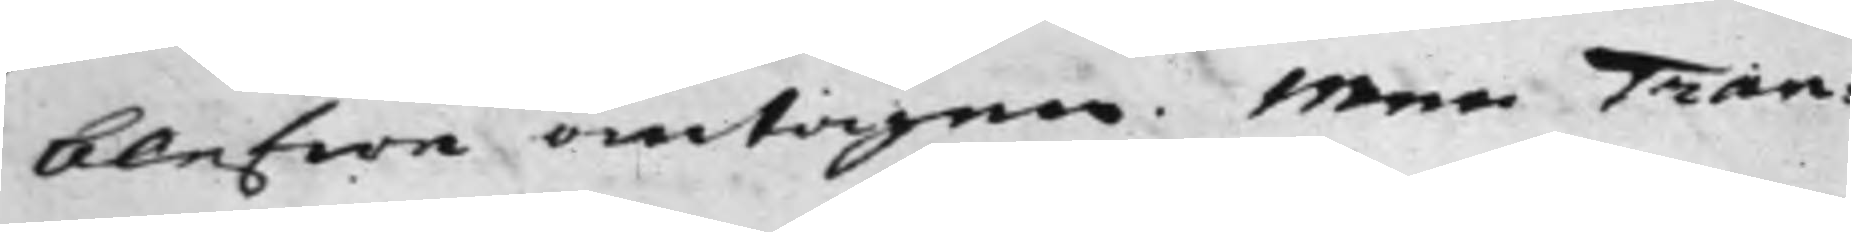blefwe antagne. Men Tran¬
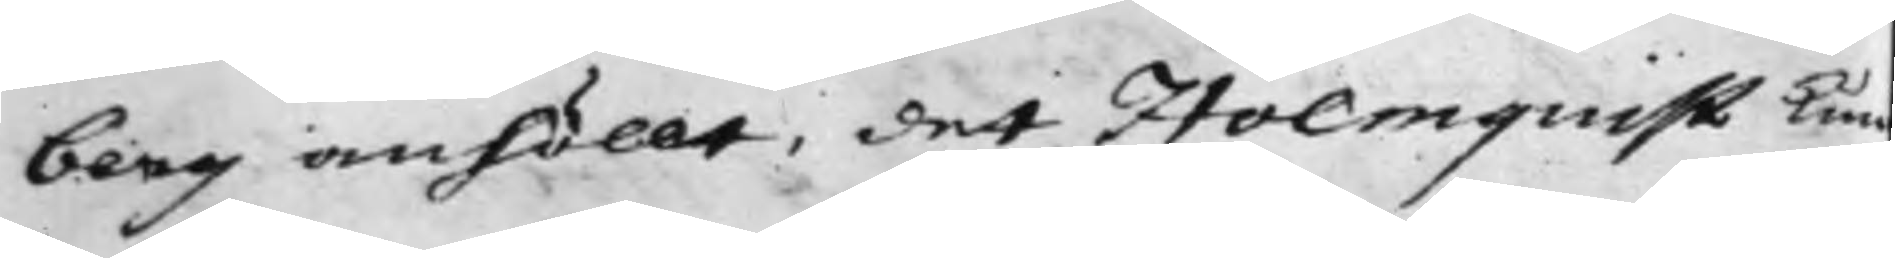berg anhöllt, det Holmquist kun¬
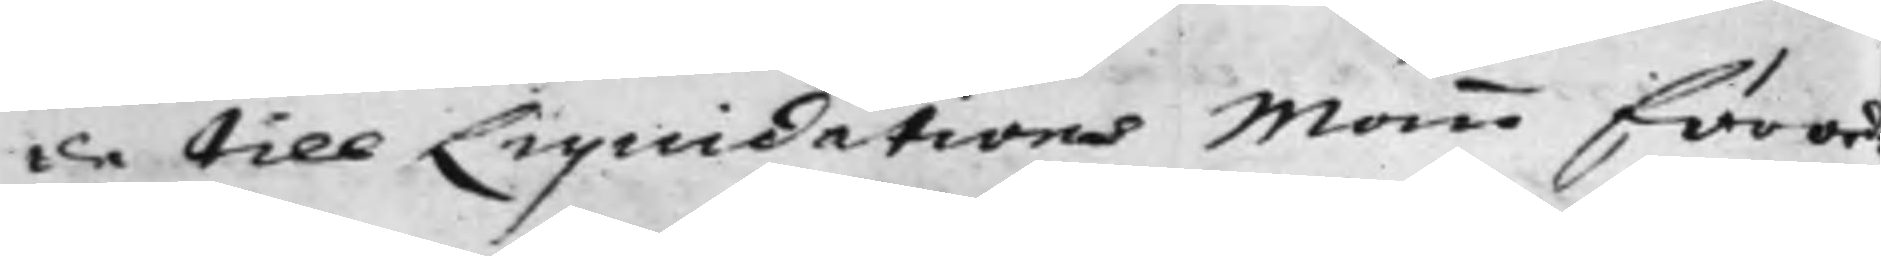de till Liquidations Mann förord¬
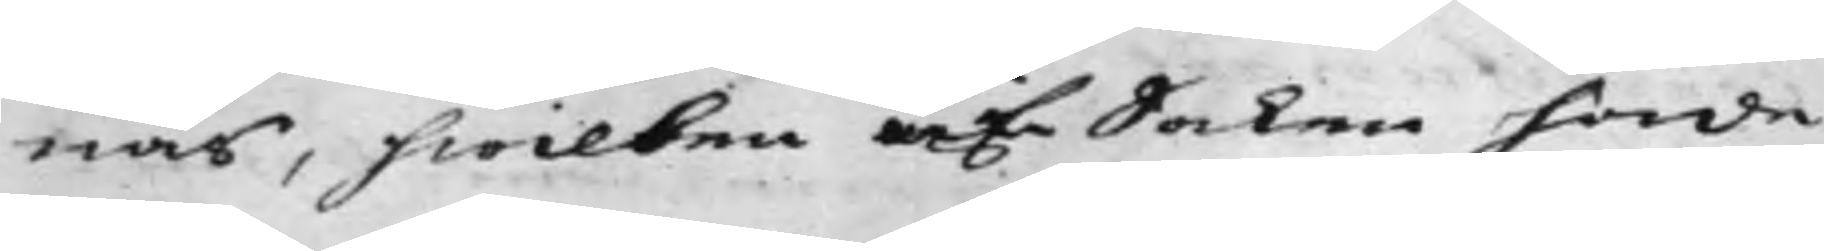nas, hwilken af Saken hade
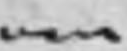man
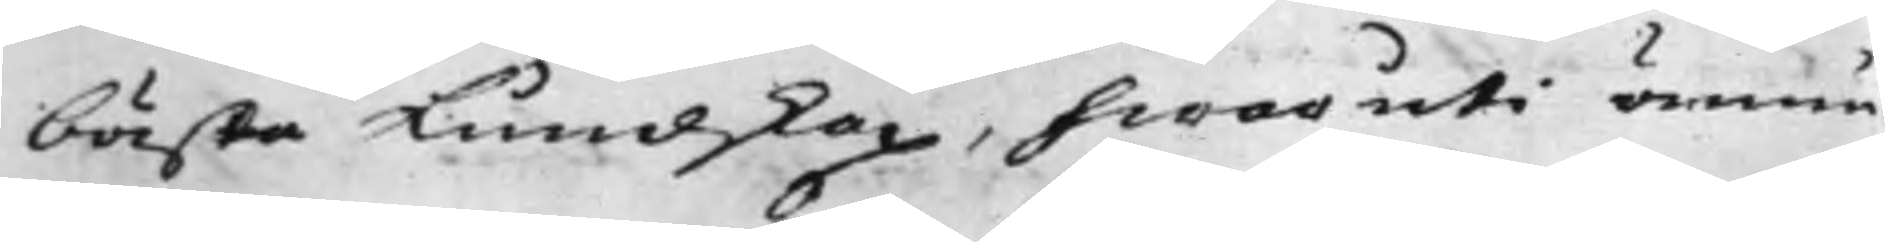bästa Kundskap, hwaruti ännu
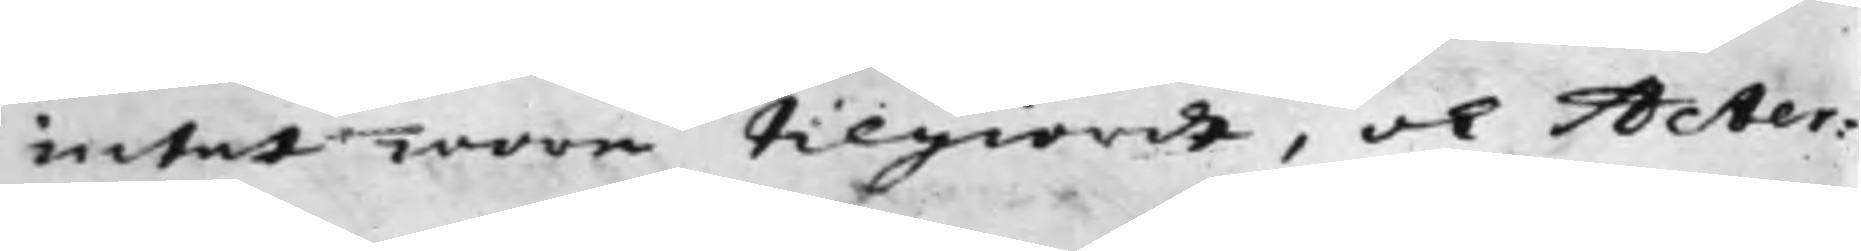intet wore tilgiordt, och Acter¬
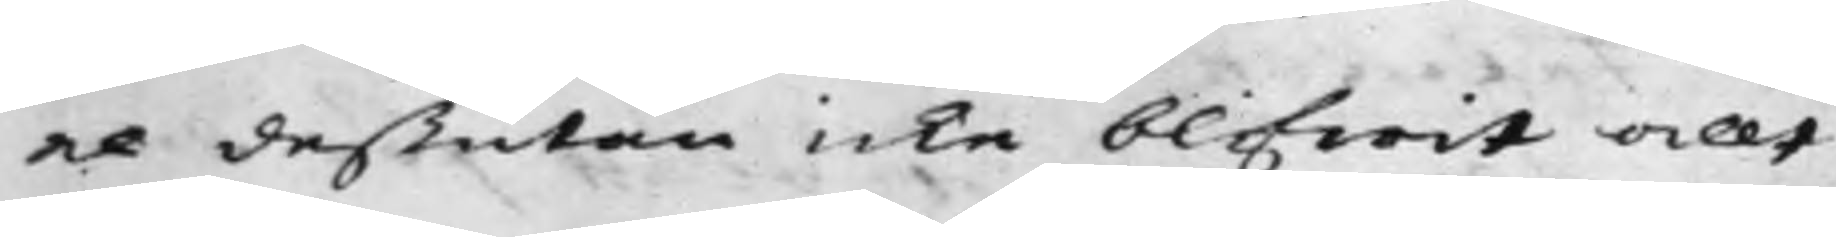ne deßutan icke blifwit allt
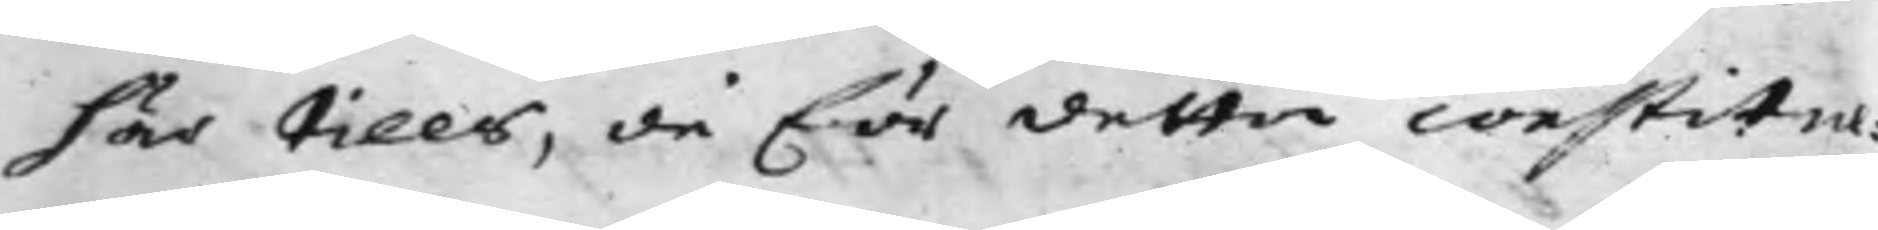här tills, då för detta constitue¬
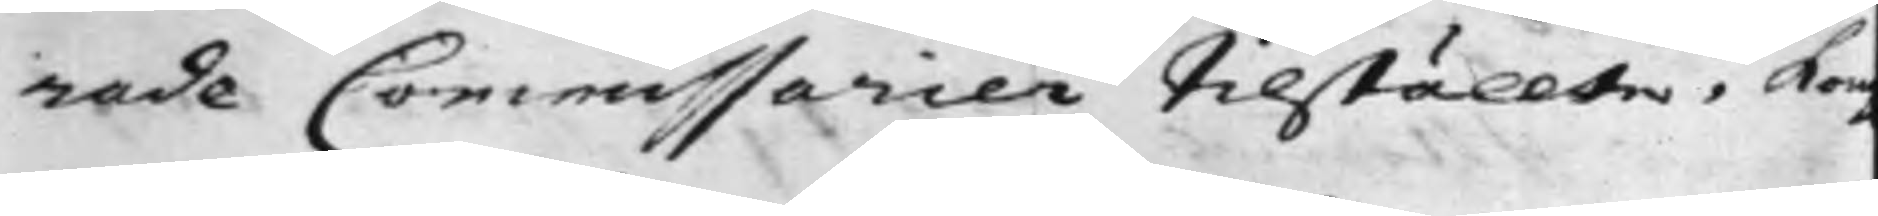rade Commissarien tilställte, Kon
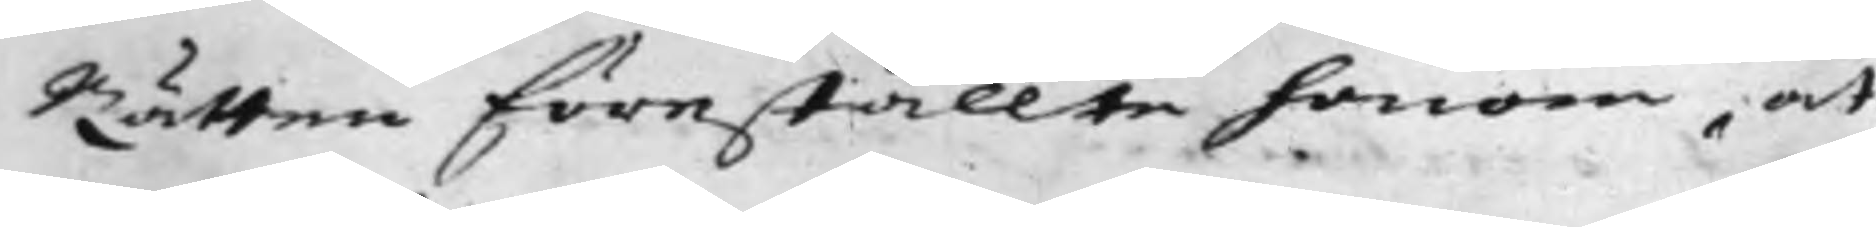Rätten föreställte honom, at
